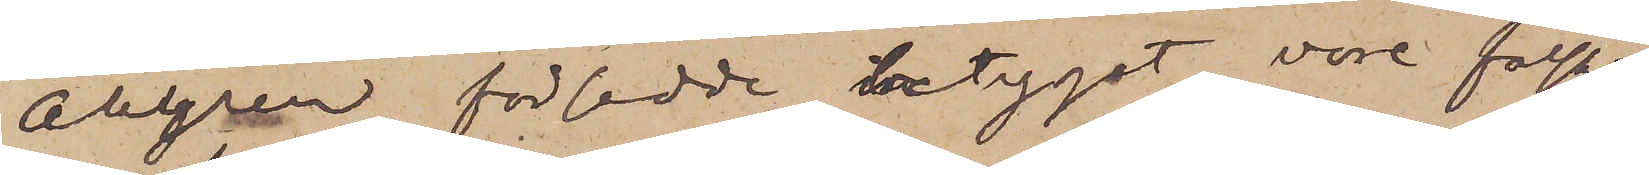Ahlgren försedde betyget vore falskt,
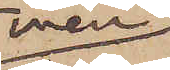men
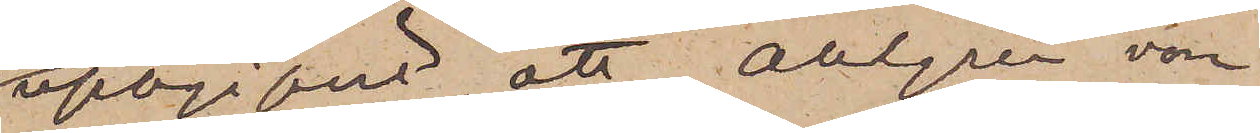uppgifvit, att Ahlgren vore
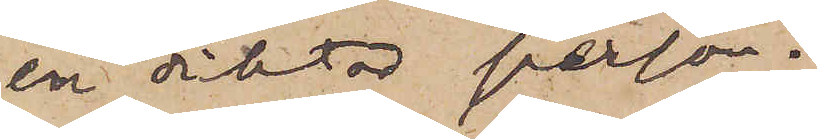en diktad person.
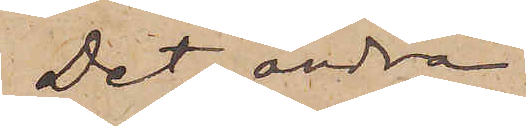Det andra
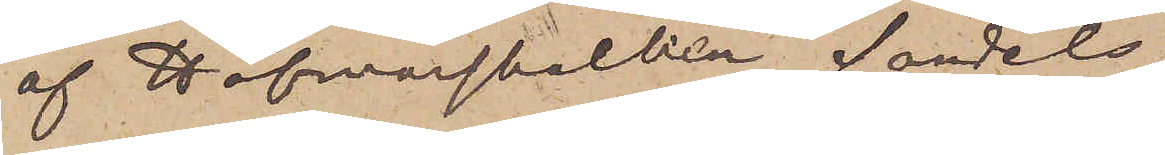af Hofmarskalken Sandels
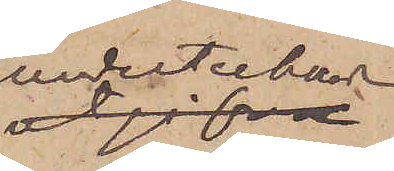undertecknade
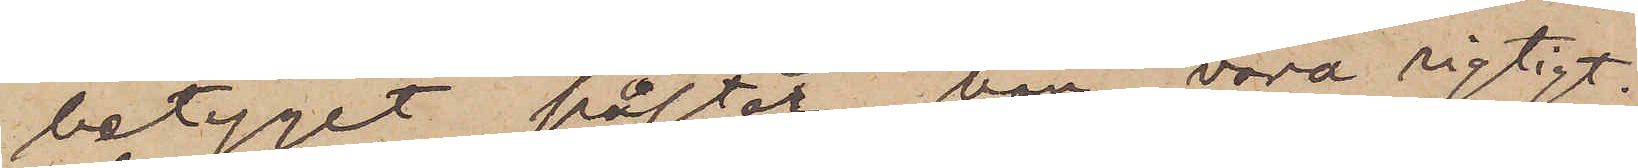betyget påstår han vara rigtigt.
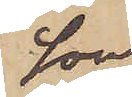Som
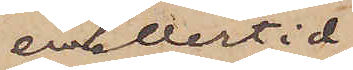emellertid
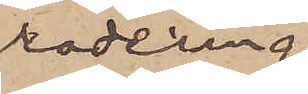radering
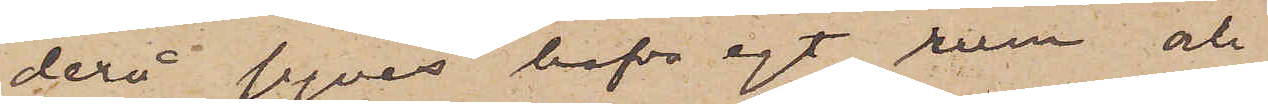derå synes hafva egt rum och
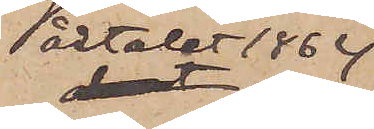årtalet 1864
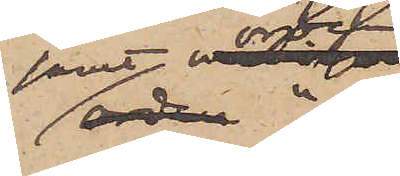samt orden
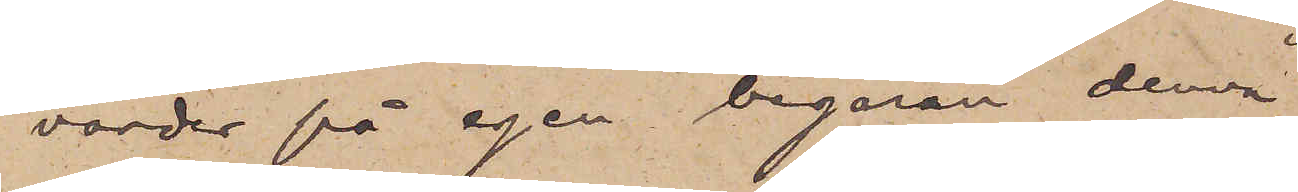"varder på egen begäran denna"
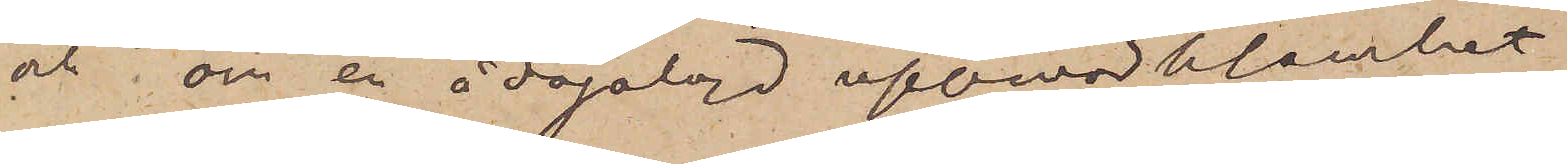och "om en ådagalagd uppmärksamhet
